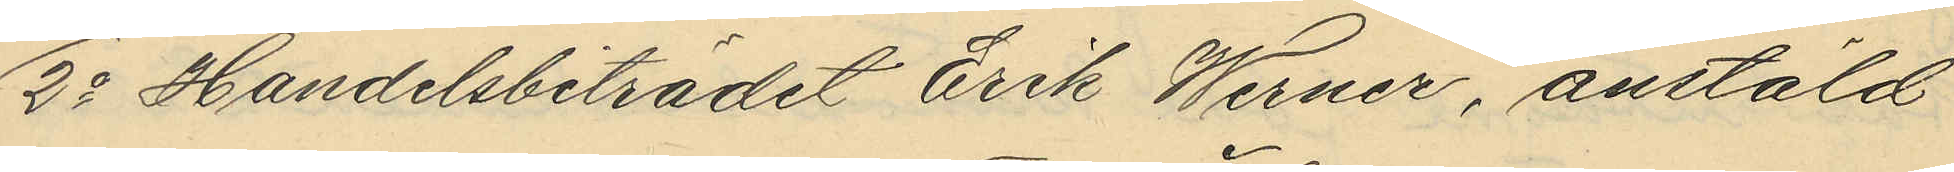2o Handelsbiträdet Erik Werner, anstäld
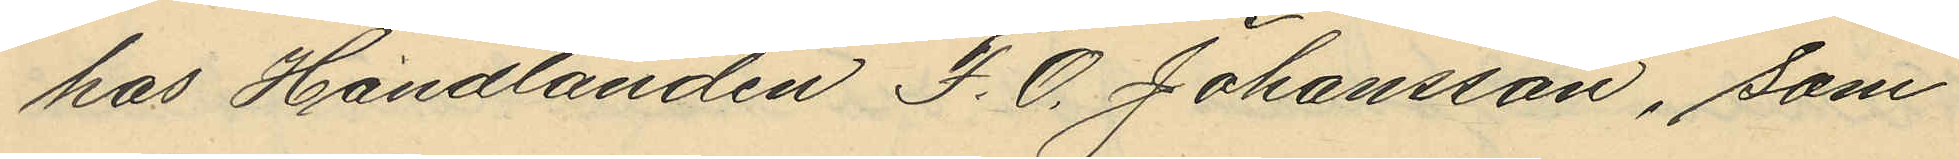hos Handlanden F. O. Johansson, som
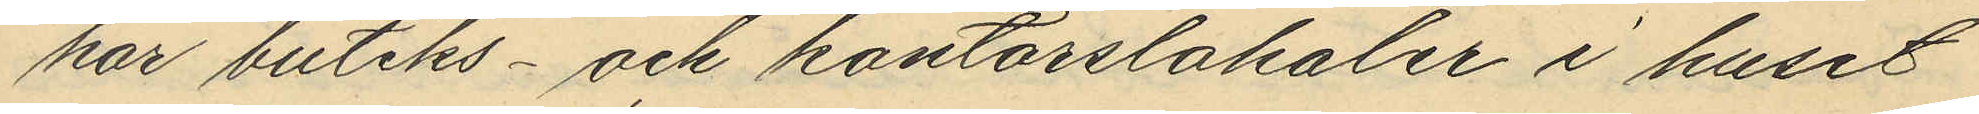har butiks- och kontorslokaler i huset
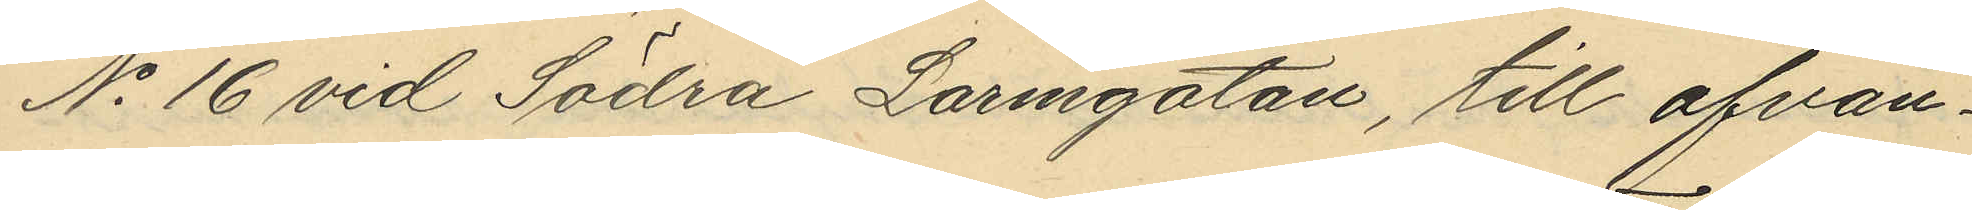No 16 vid Södra Larmgatan, till ofvan¬
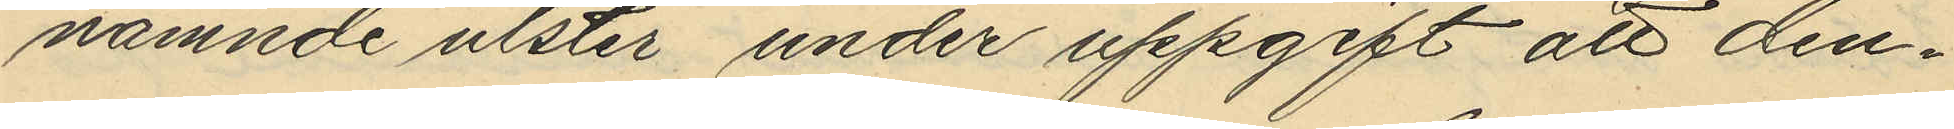nämnde ulster under uppgift att den¬
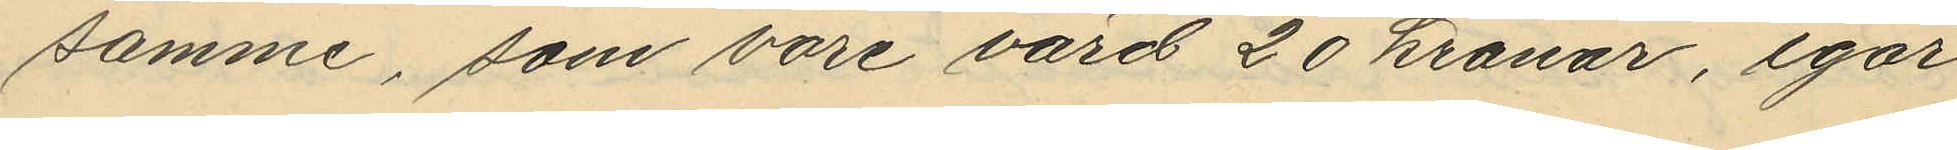samme, som vore värd 20 kronar, igår
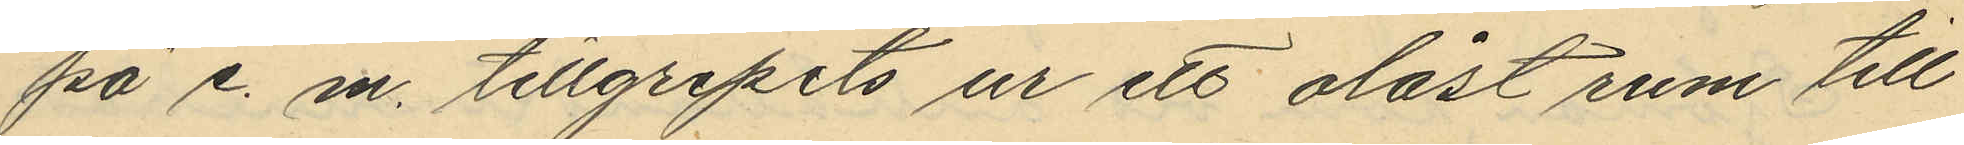på e. m. tillgripits ur ett olåst rum till
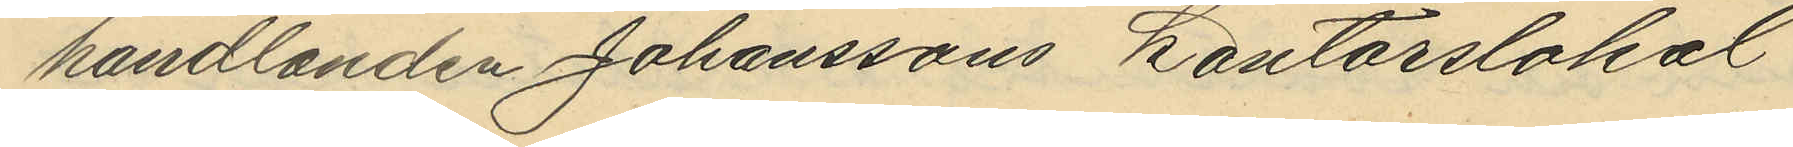handlanden Johanssons Kontorslokal
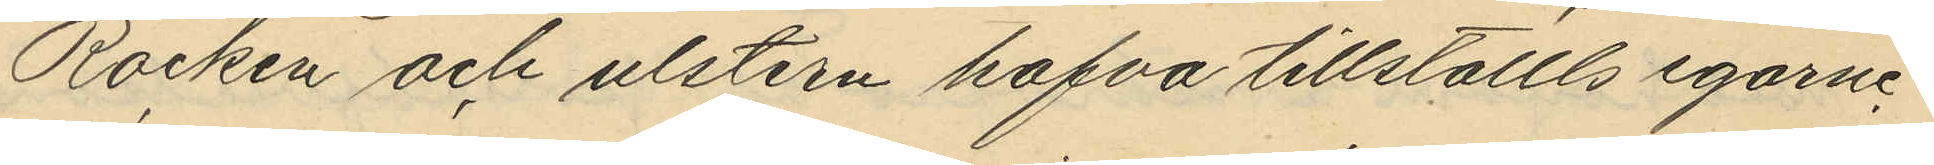Rocken och ulstern hafva tillställts egarne.
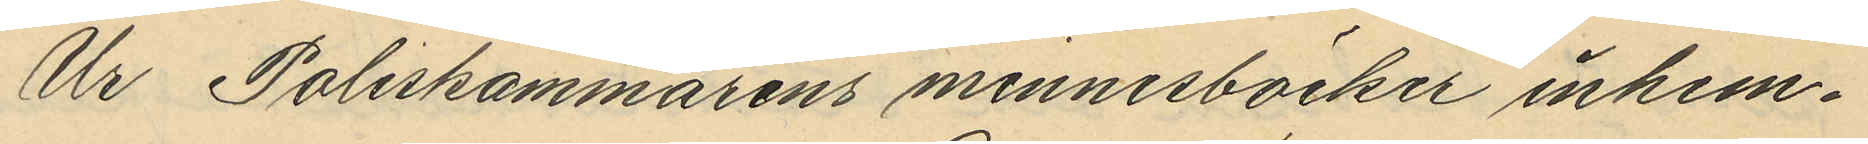Ur Poliskammarens minnesböcker inhem¬
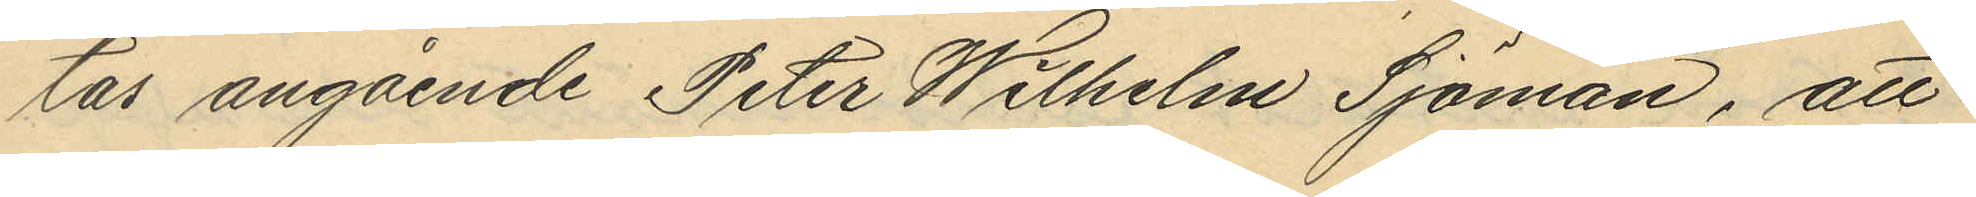tas angående Peter Wilhelm Sjöman, att
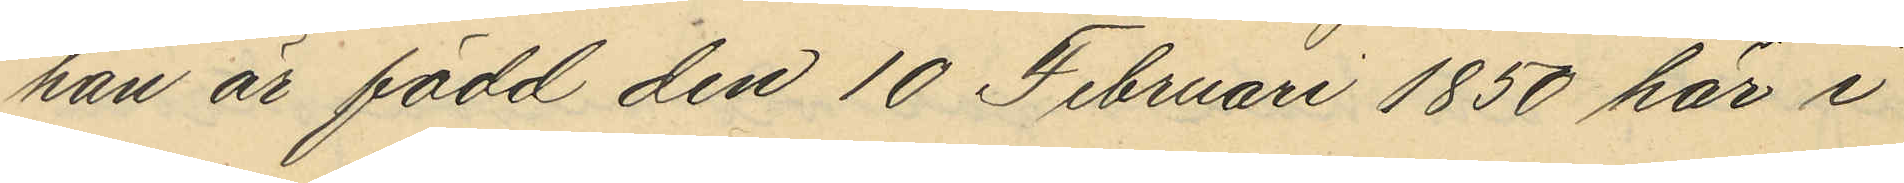han är född den 10 Februari 1850 här i
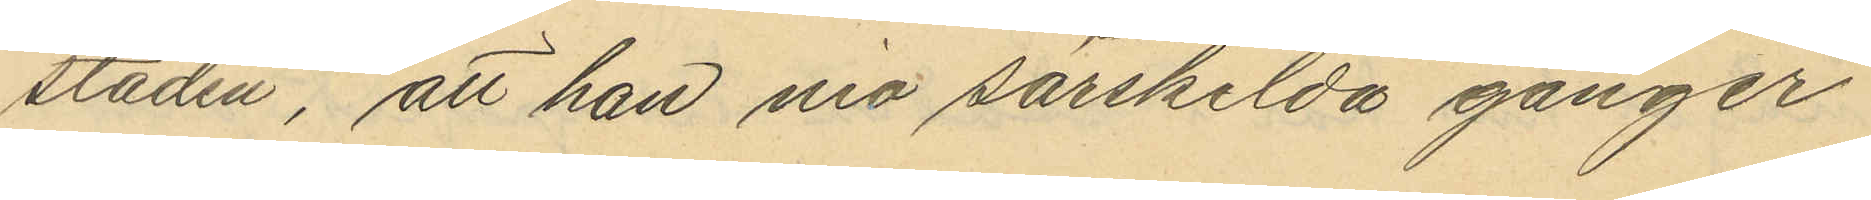staden, att han nio särskilda gånger
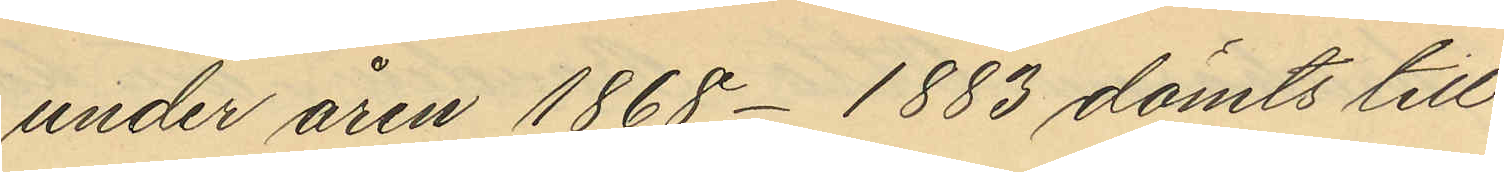under åren 1868-1883 dömts till
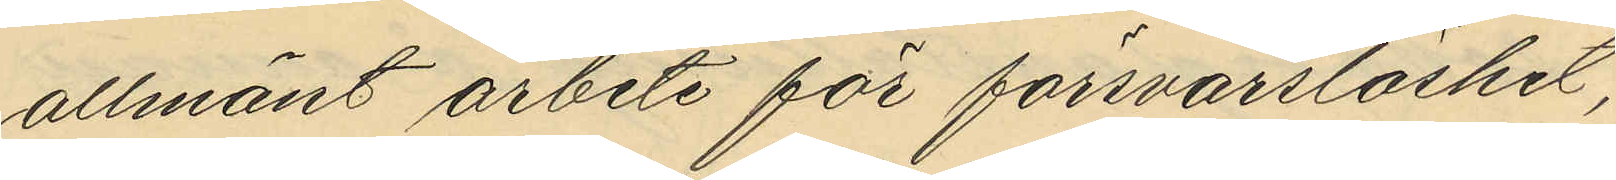allmänt arbete för försvarslöshet,
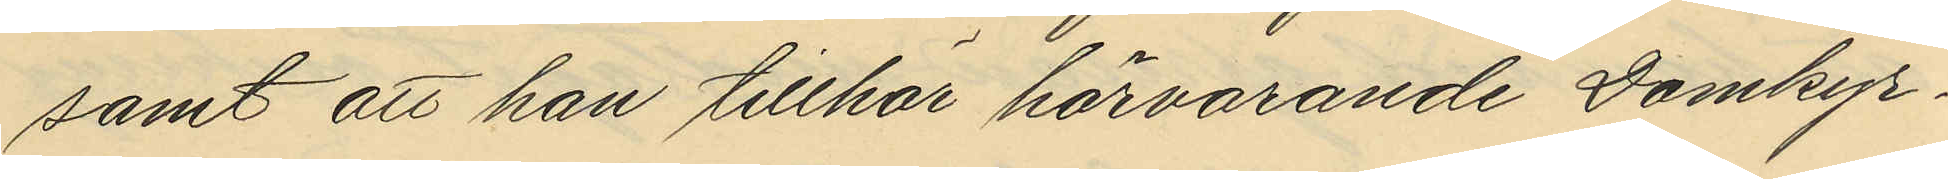samt att han tillhör härvarande Domkyr¬
